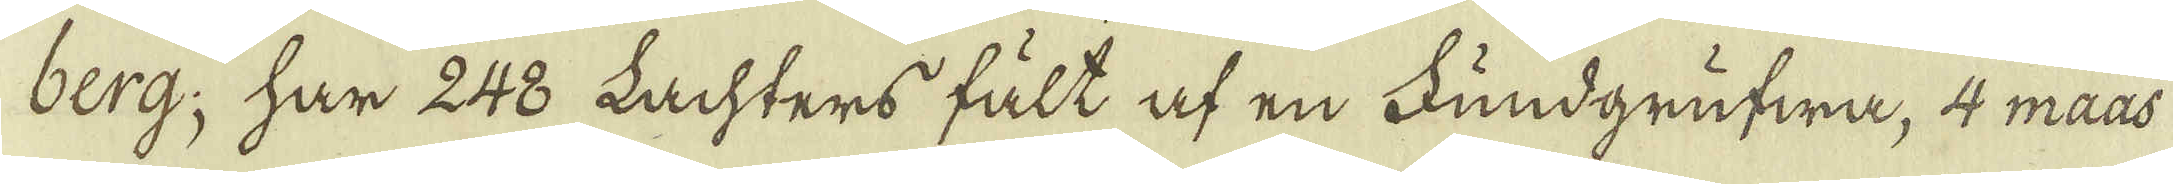berg, har 248 Lachters fält af en Fundgrufwa, 4 maas
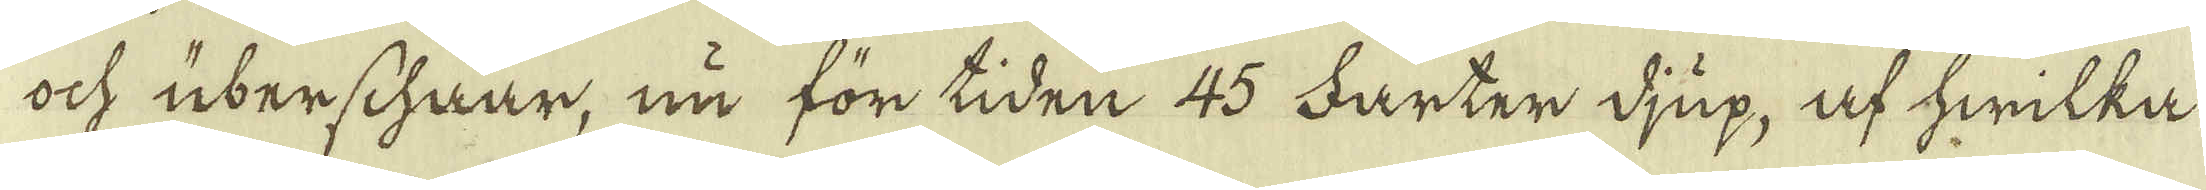ock uberschaar, nu för tiden 45 Farter djup, af hwilka
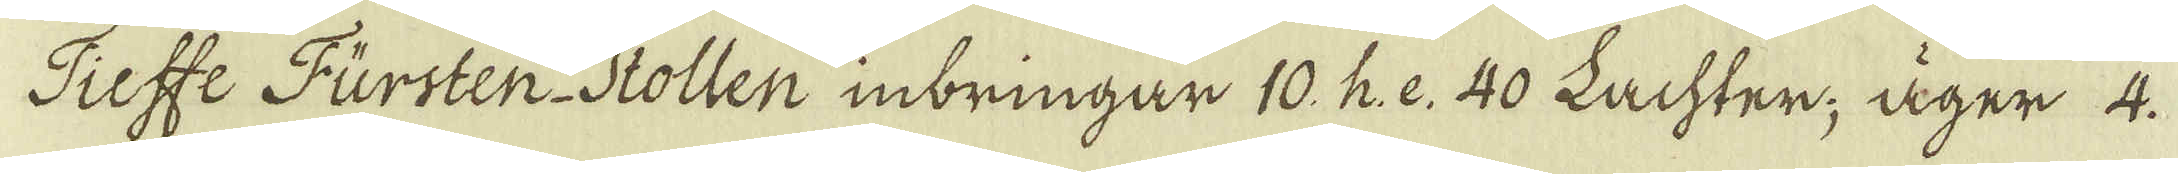Tieffe Fursten-Stollen inbringar 10. h: e. 40 Lachter. äger 4.
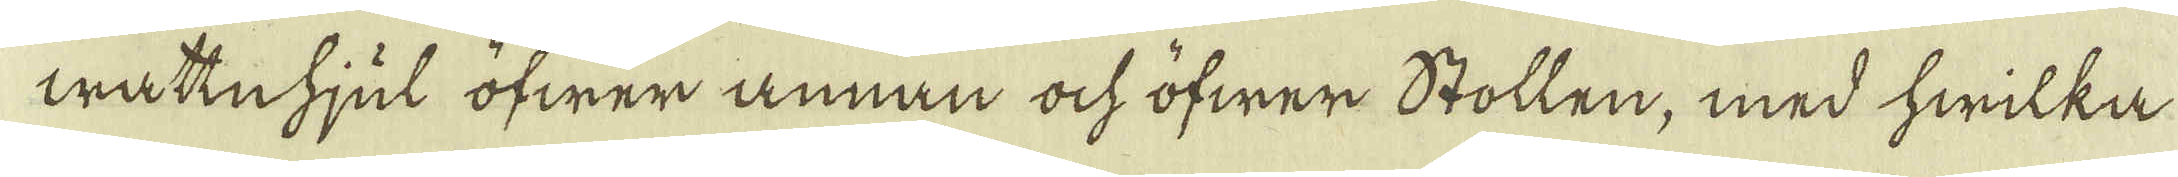wattnhjul öfwer annan ock öfwer Stollen, med hwilka
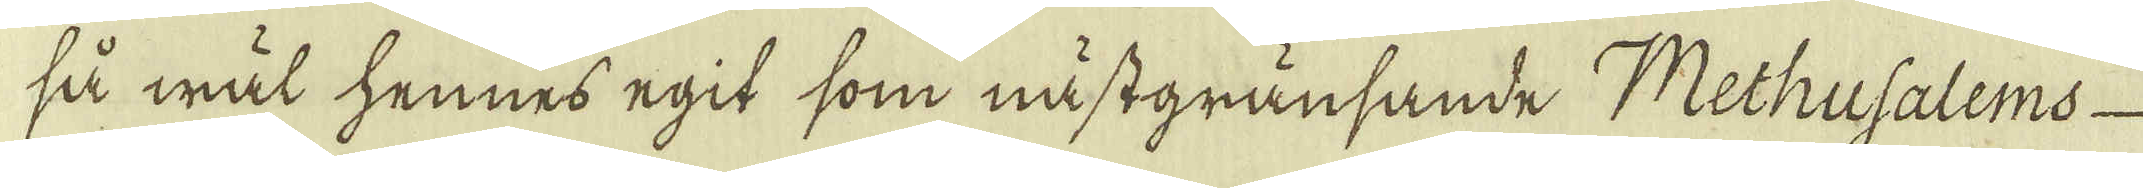så wäl hennes egit som nästgränsande Methusalems
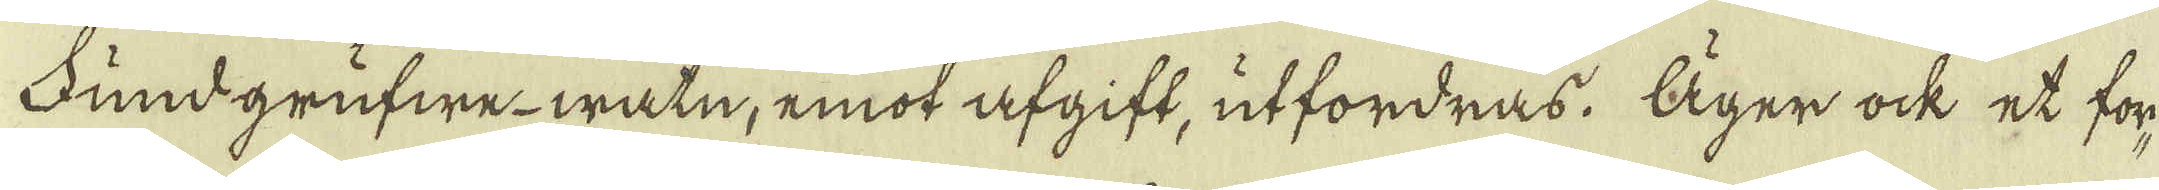Fundgrufwe-watn, emot afgift, utfordras. Äger ock et for-
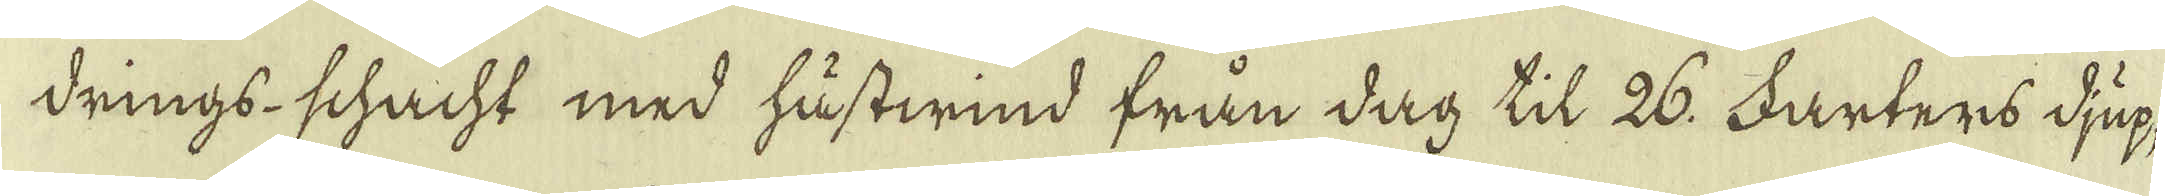drings-schacht med hustwind från dag til 26. Farters djup,
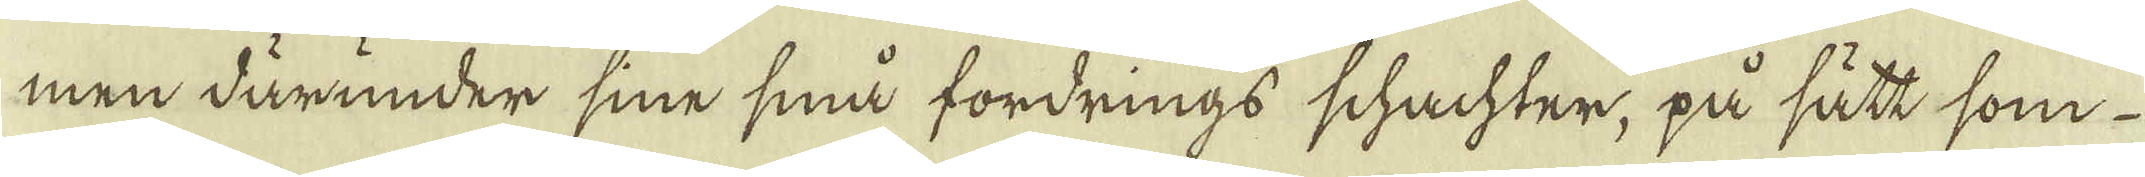men därunder sine små fordrings schachter, på sätt, som
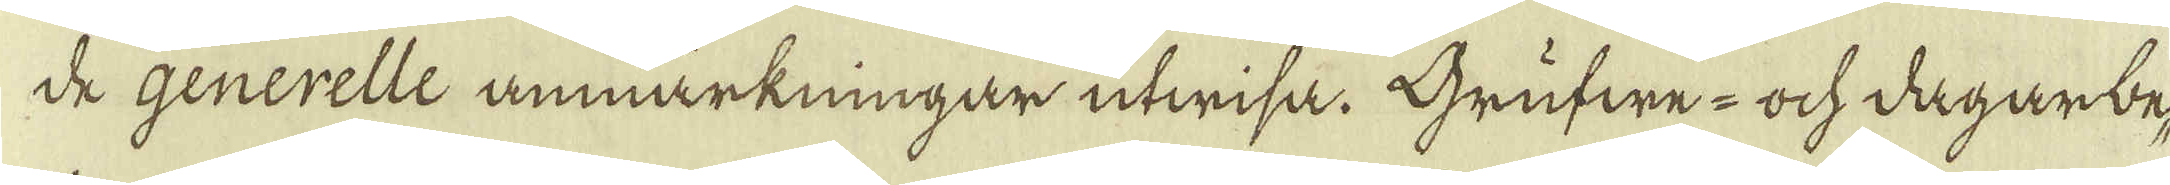de Generelle anmärkningar utwisa. Grufwe- och dagarbe-
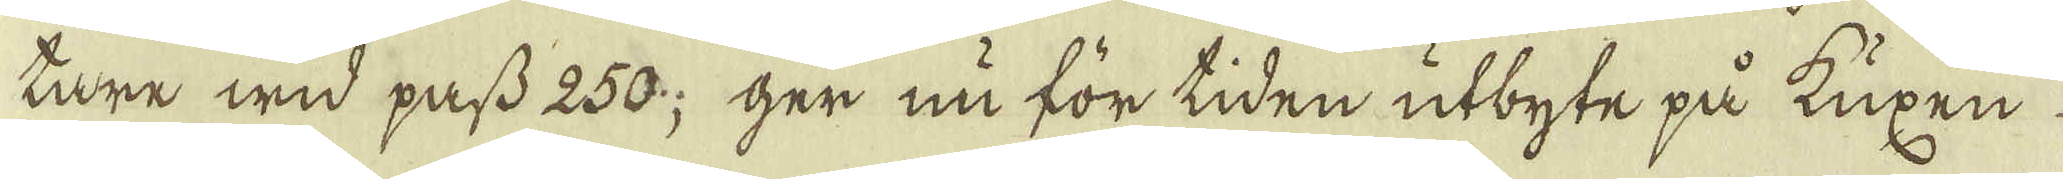tare wid pass 250; ger nu för tiden utbyte på kuxen
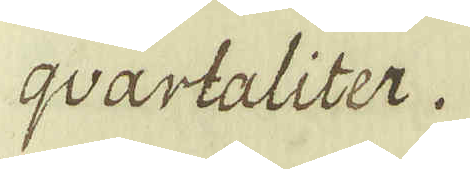qvartaliter.
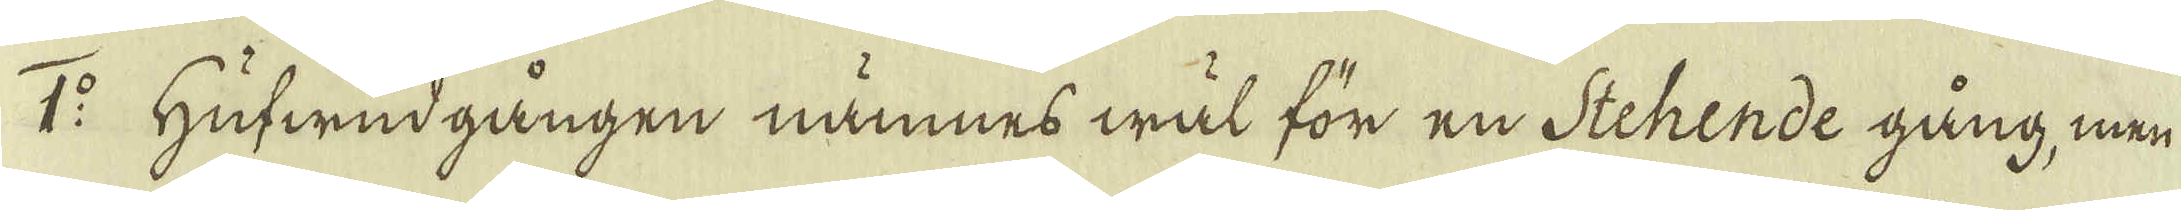1:o Hufwudgången nämnes wäl för en Stehende gång, men
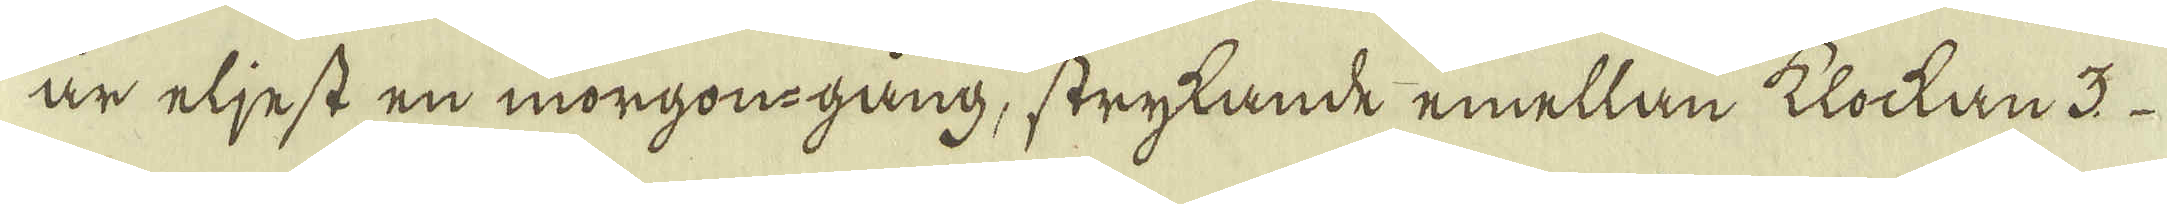är eljest en morgongång, strykande emellan klockan 3
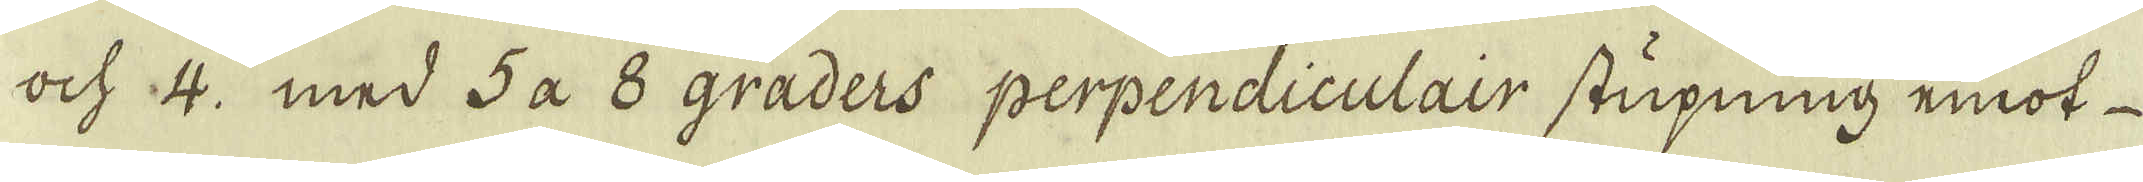och 4. med 5 a 8 graders perpendiculair stupning emot
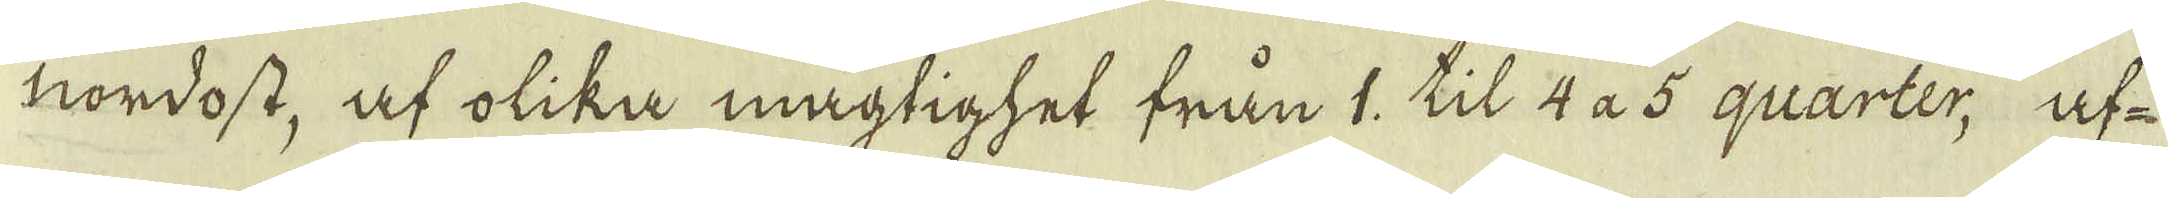nordost, af olika mägtighet från 1, til 4 à 5 quarter, uf-
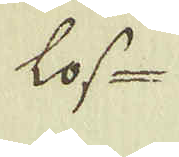los-
